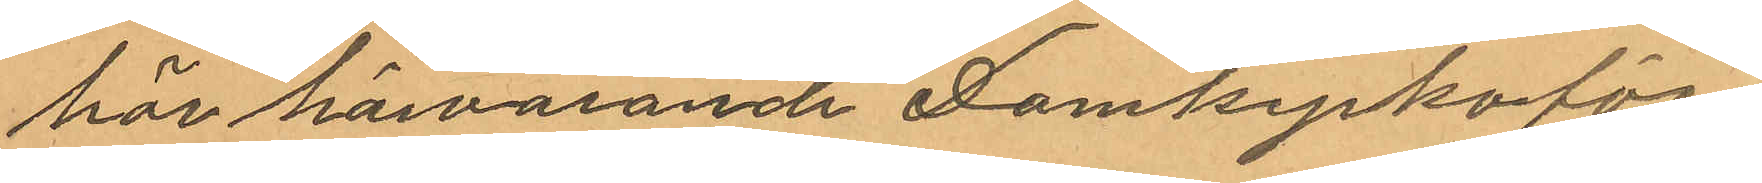hör härvarande Domkyrkoför¬
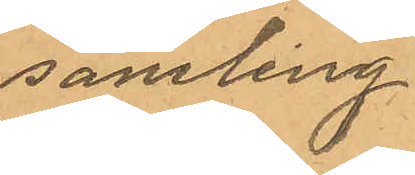samling.
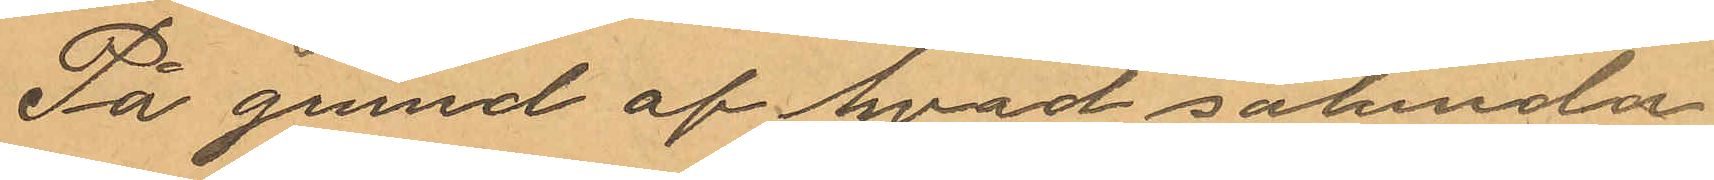På grund af hvad sålunda
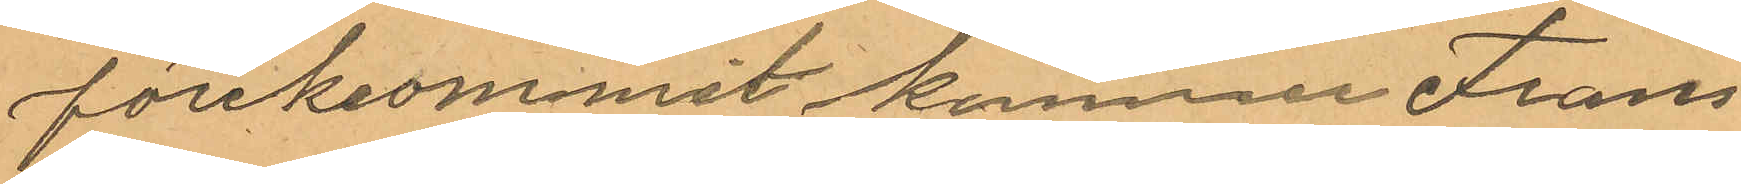förekommit konmer Frans
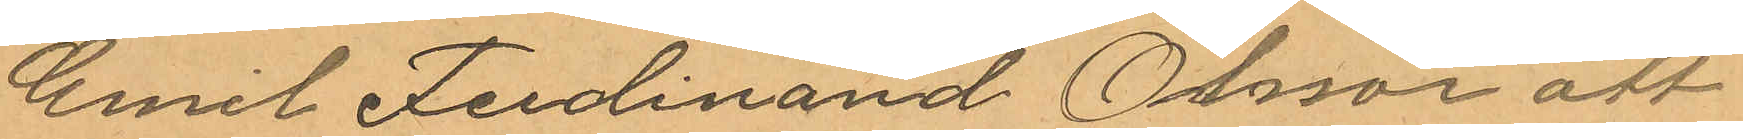Emil Fedinand Olsson att
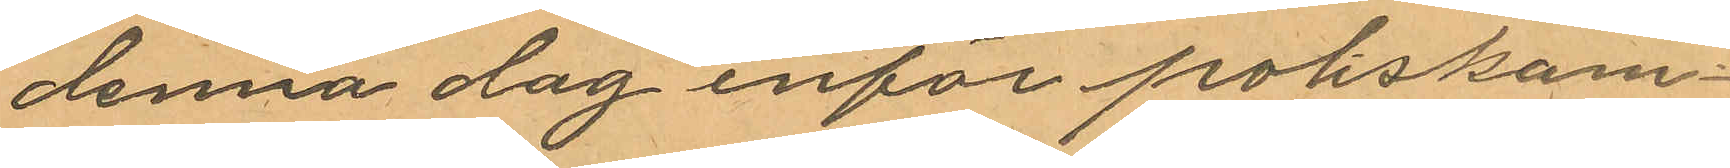denna dag inför poliskam¬
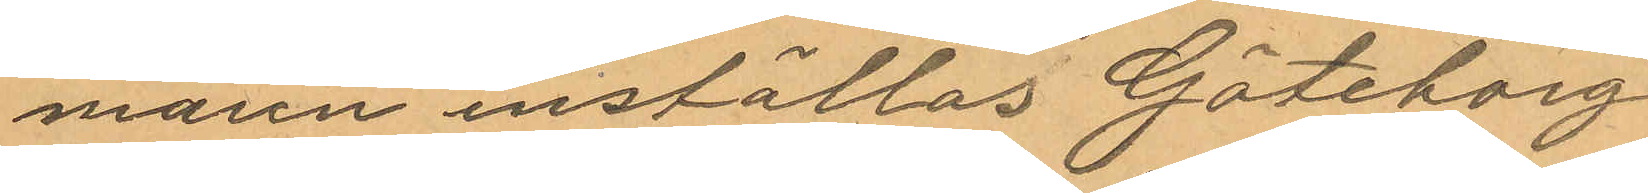maren inställas. Göteborg
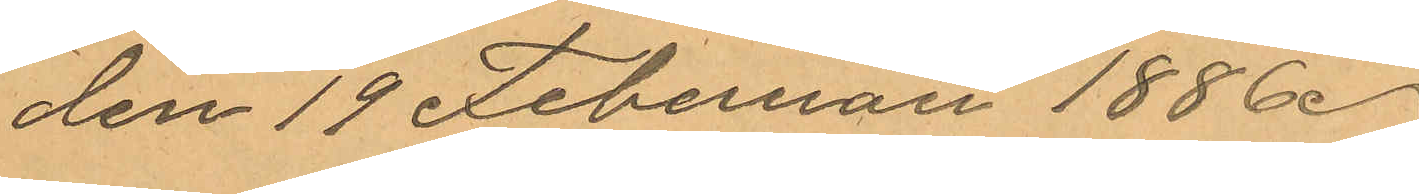den 19 Februari 1886.
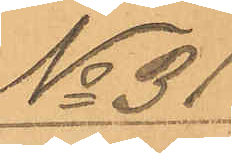No 31
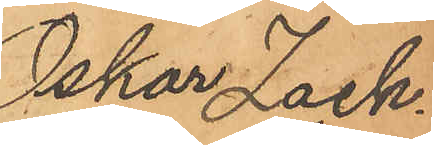Oskar Zach¬
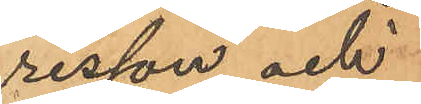risson och
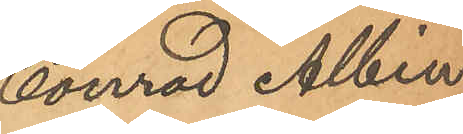Conrad Albin
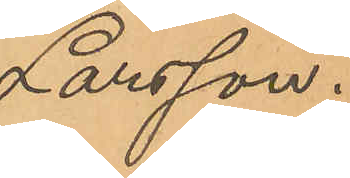Larsson.
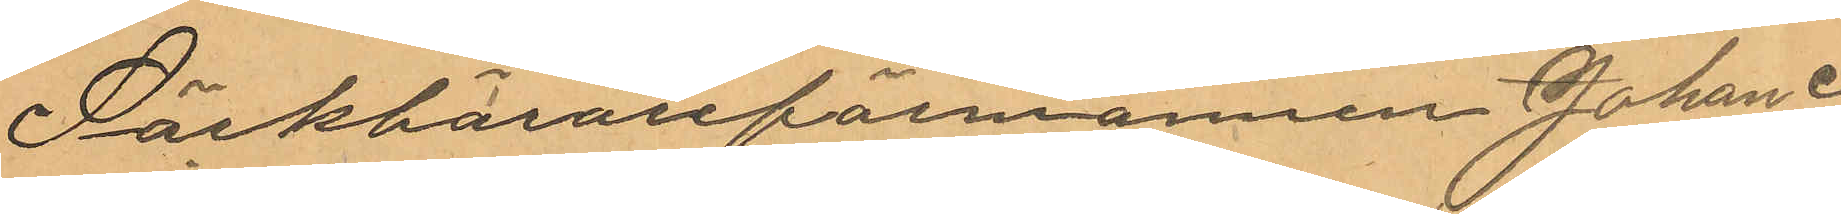Säckbärarförmannen Johan
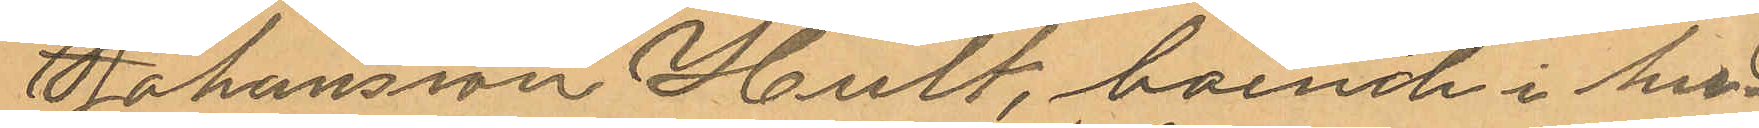Johansson Hult, boende i hu¬
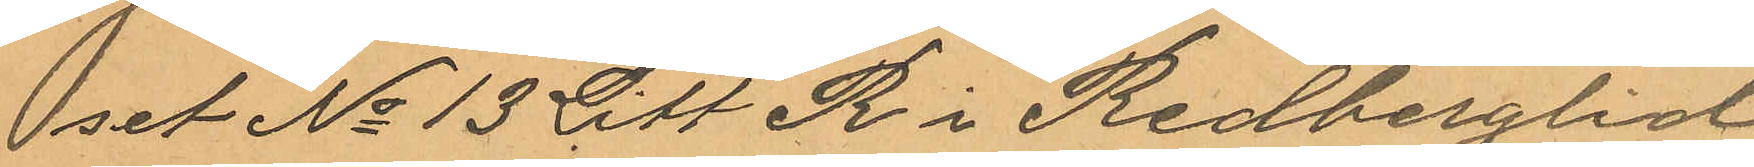set No 13 Litt R i Redberglid
